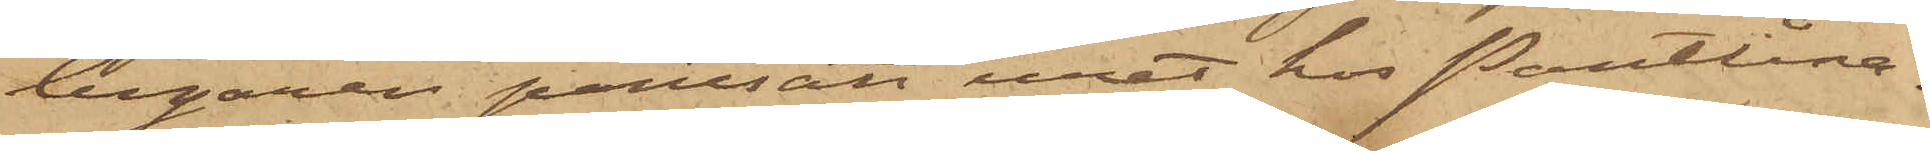begäran pantsatt uret hos Pantlåna¬
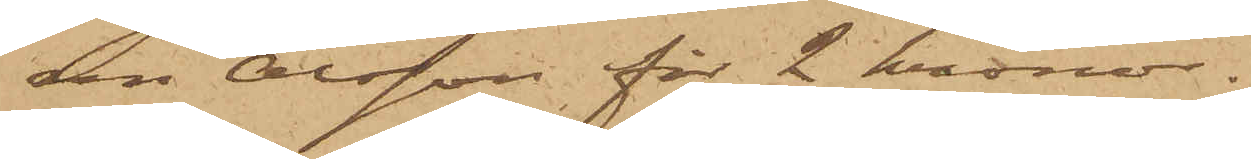den Olsson för 2 kronor.
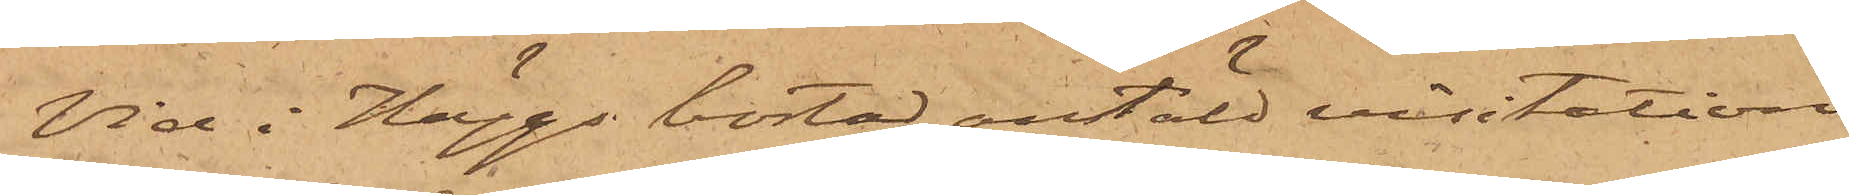Vid i Häggs bostad anstäld visitation
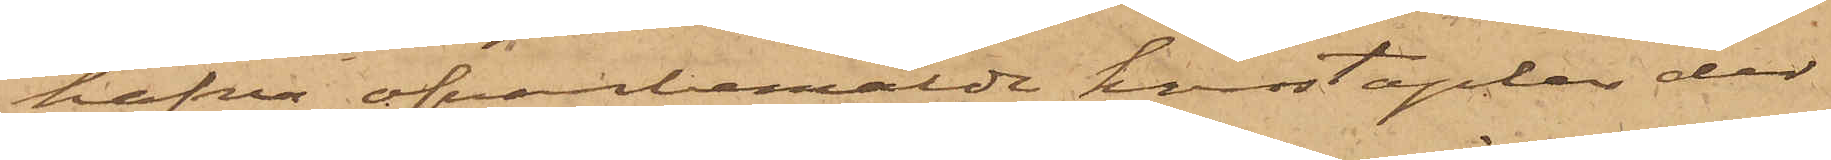hafva ofvanbemälde konstaplar der
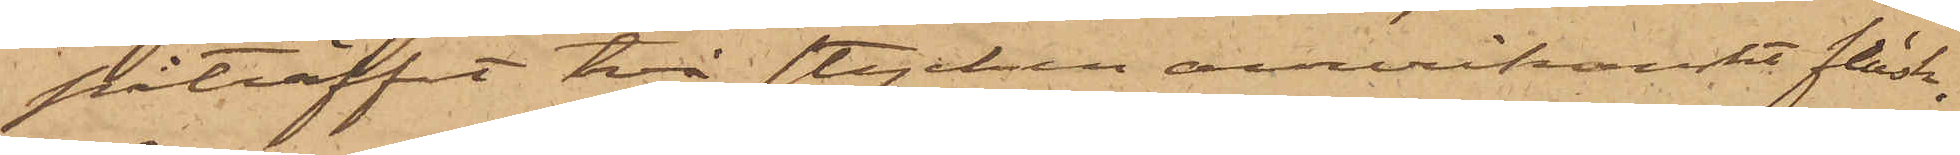påträffat två stycken amerikanskt fläsk,
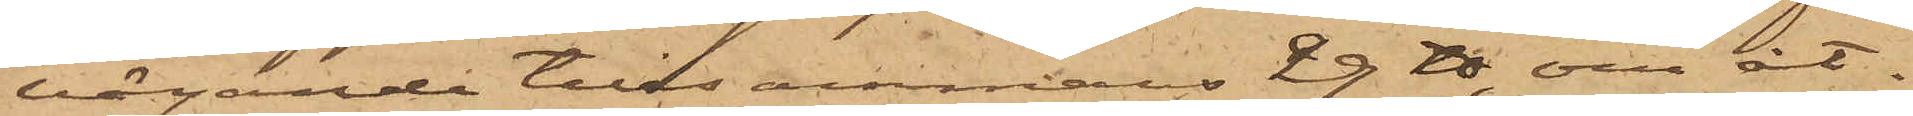vägande tillsammans 29 ℔, om åt¬
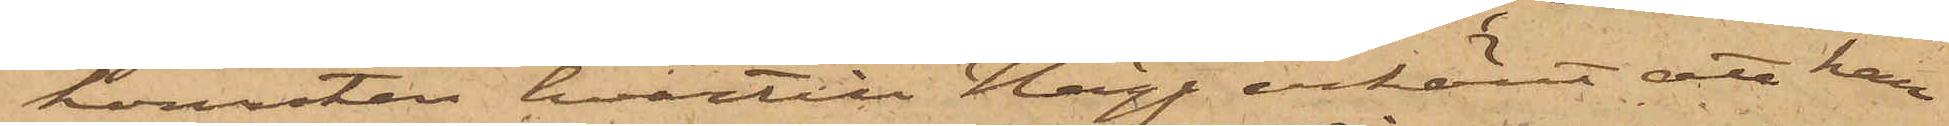komsten hvartill Hägg erkänt att han
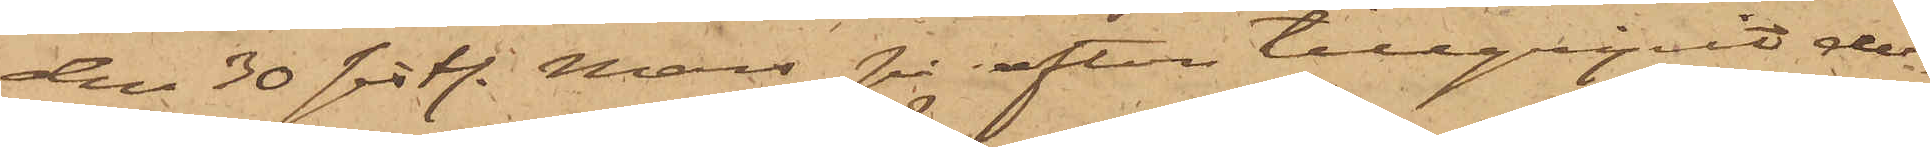den 30 sistl. Mars på afton tillgripit de¬
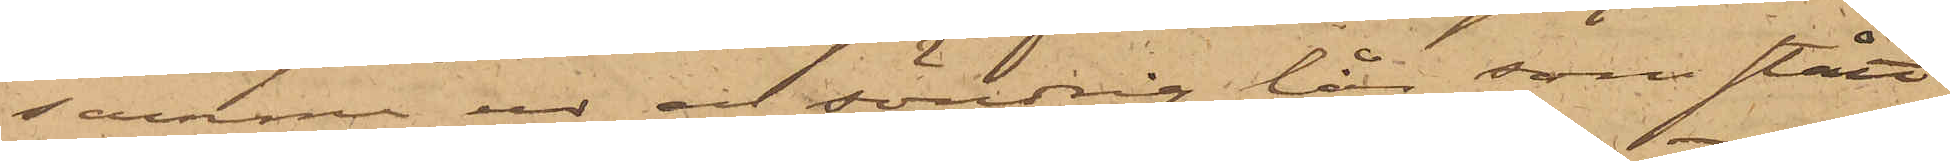samma ur en söndrig lår, som stått
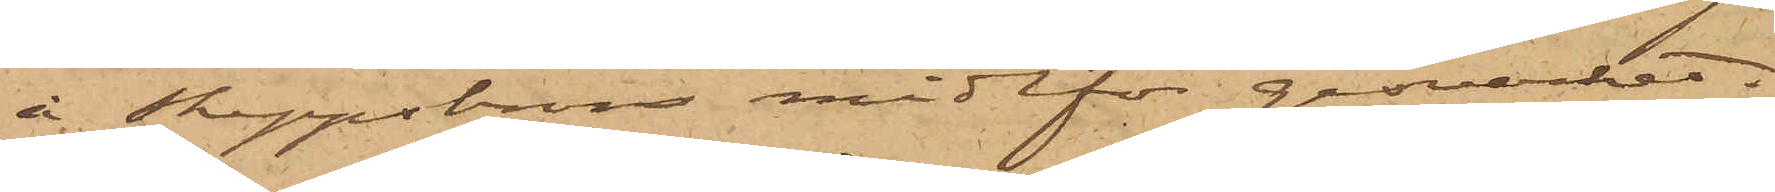å Skeppsbron midtför gasverket.
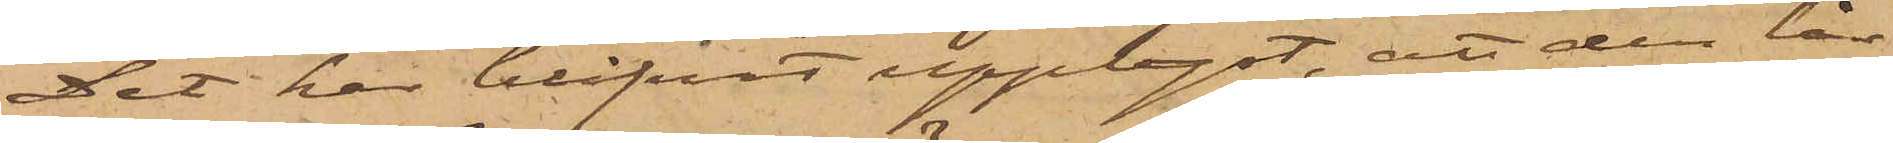Det har blifvit upplyst, att den lår
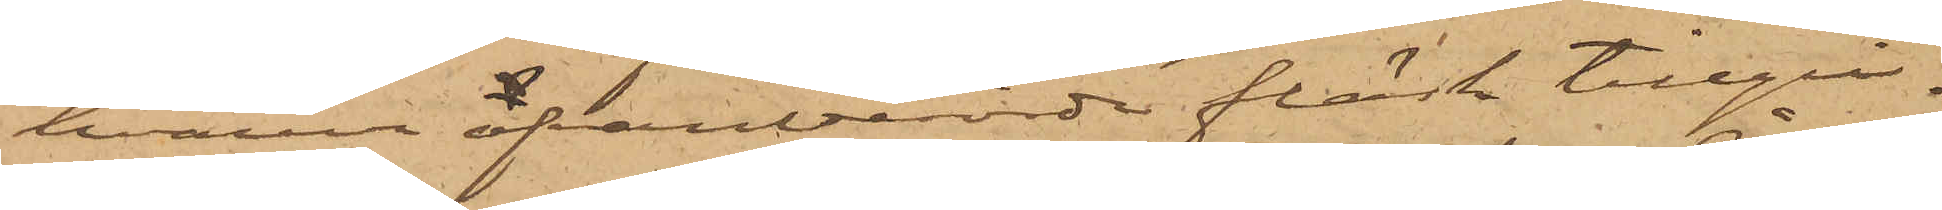hvarur ofvanberörde fläsk tillgri¬
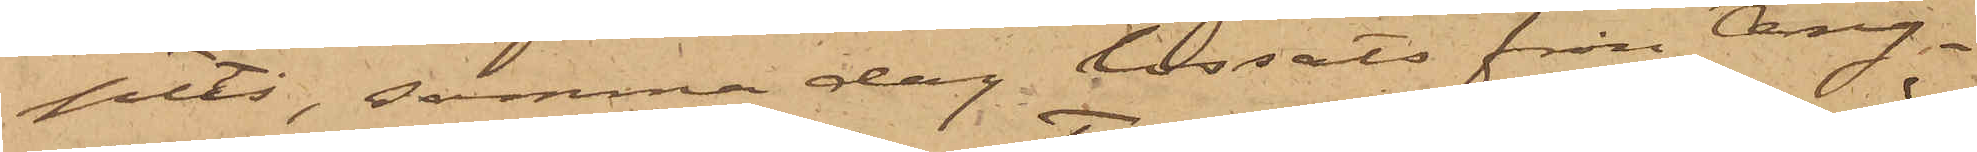pits, samma dag lossats från Ång¬
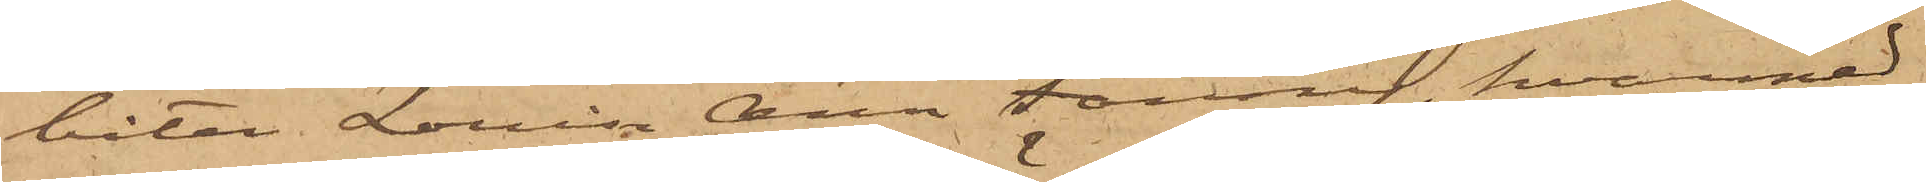båten Lovisa Ann Fanny, hvarmed
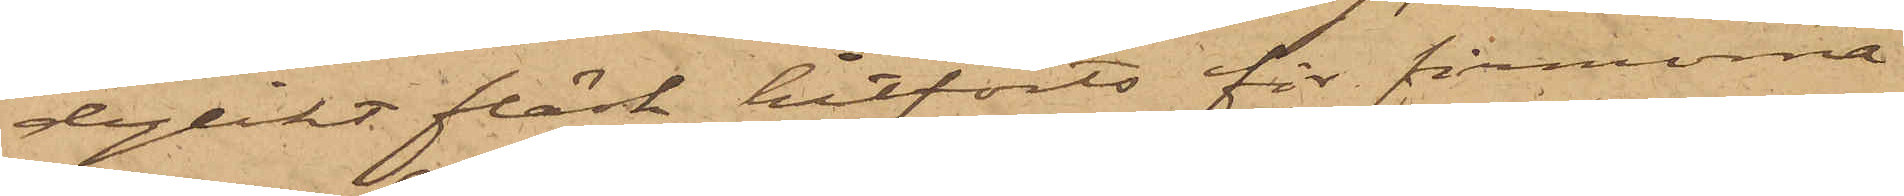dylikt fläsk hitförts för firmorna
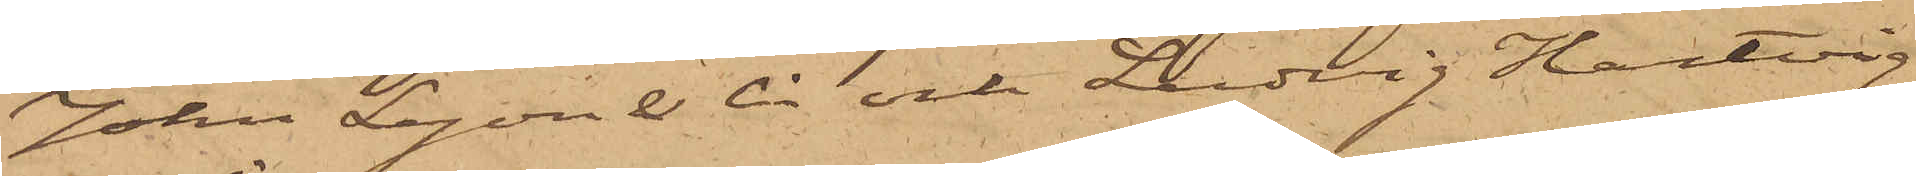John Lyon & Ci och Ludvig Hartvig
